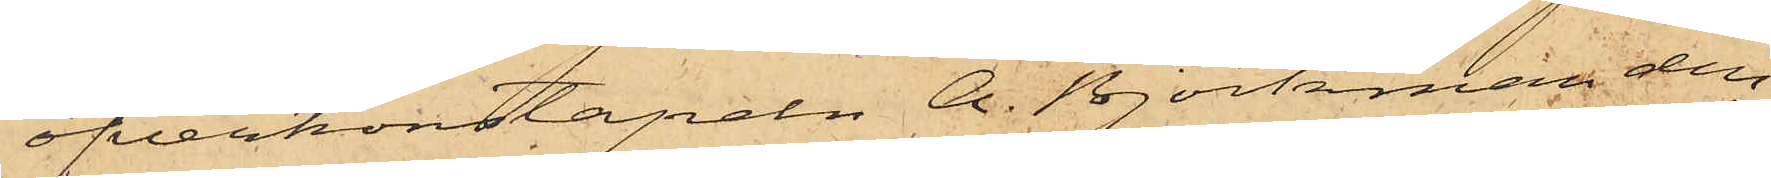öfverkonstapeln A. Björkman den
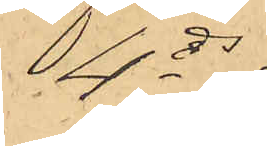4 ds
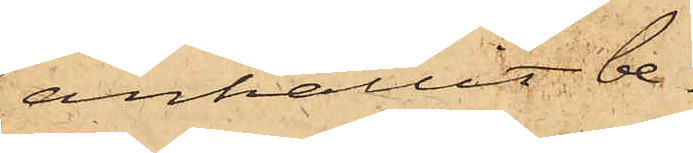anhållit be¬
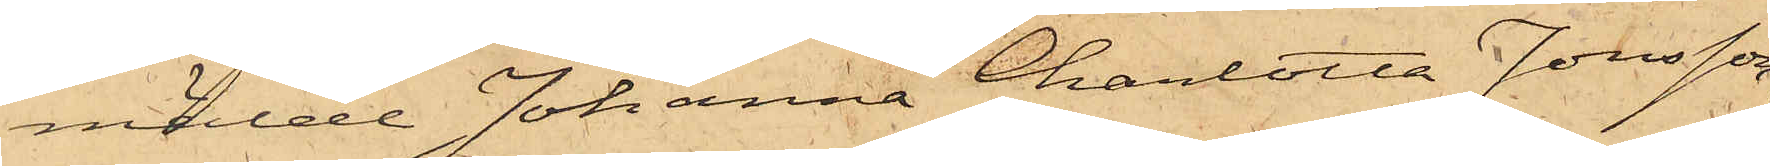mälde Johanna Charlotta Jonsson,
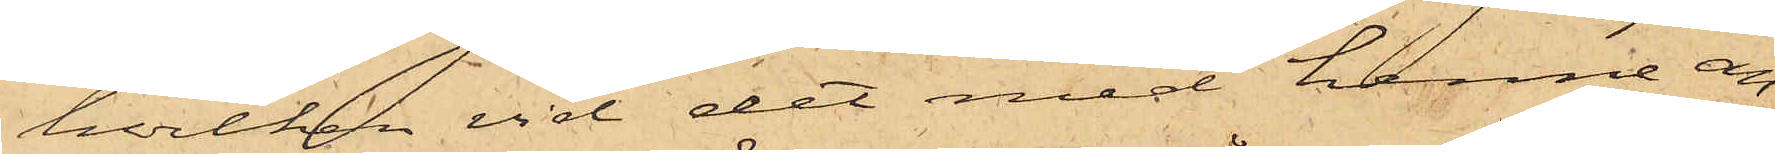hvilken vid det med henne an¬
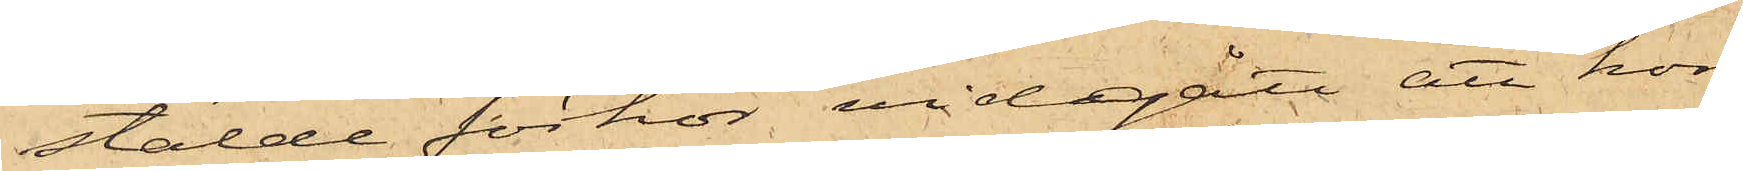stälde förhör vidgått att hon
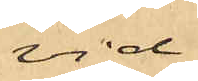vid
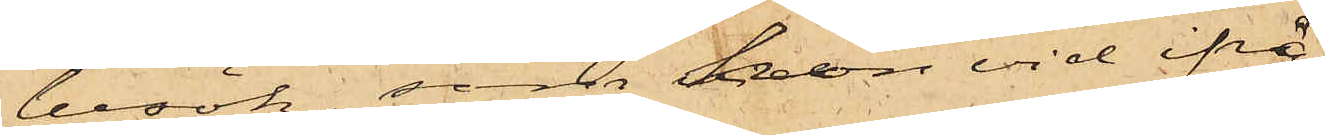besök, som hon vid ifrå¬
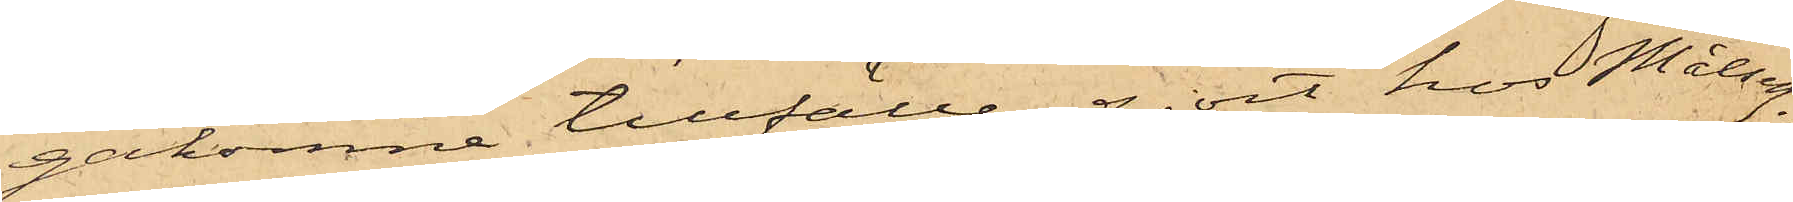gakomne tillfälle gjort hos Målseg.
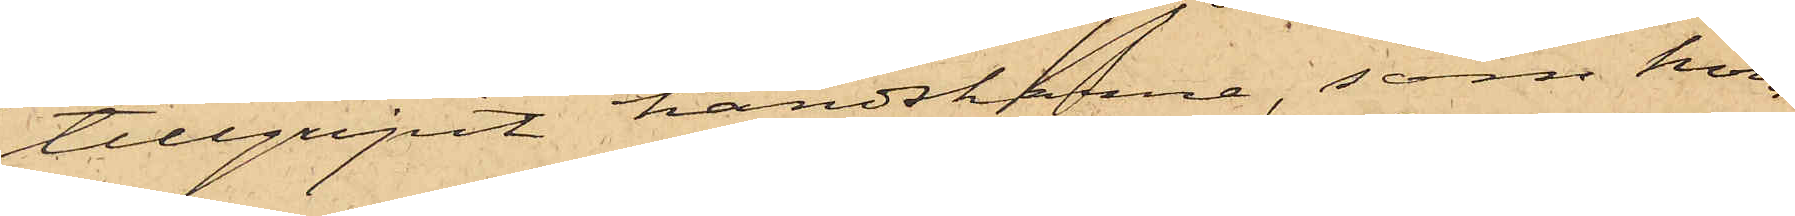tillgripit handskarne, som hon
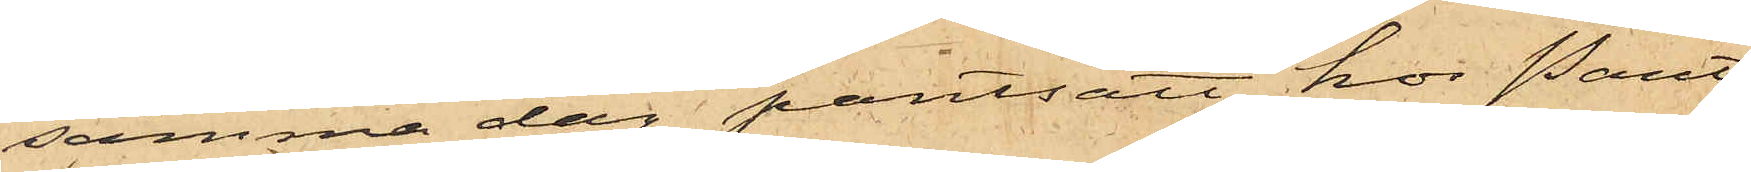samma dag pantsatt hos Pant¬
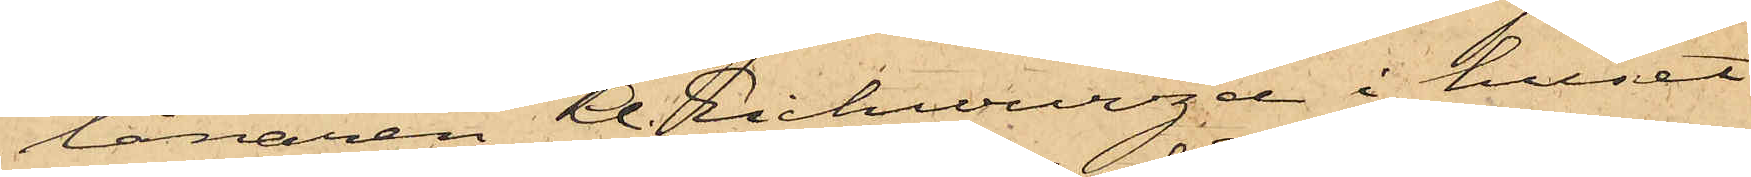lånaren A. Eichwurzel i huset
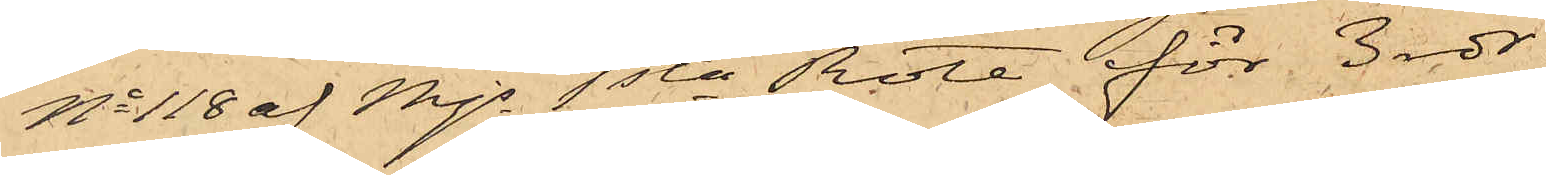No 118 af Mjs 1sta Rote för 3 rdr.
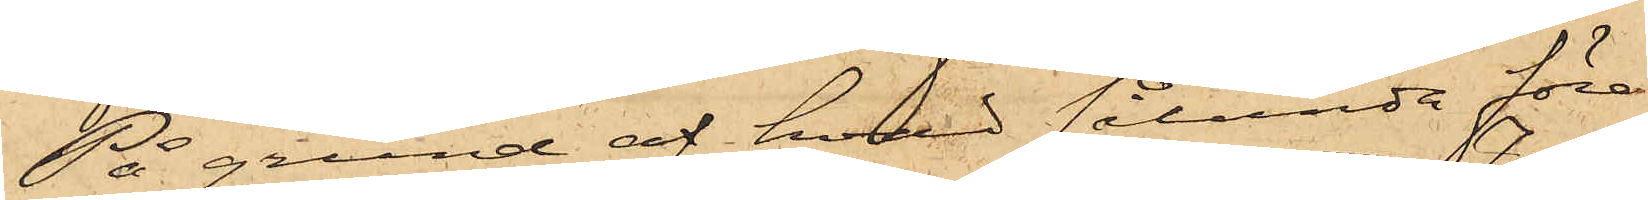På grund af hvad sålunda före¬
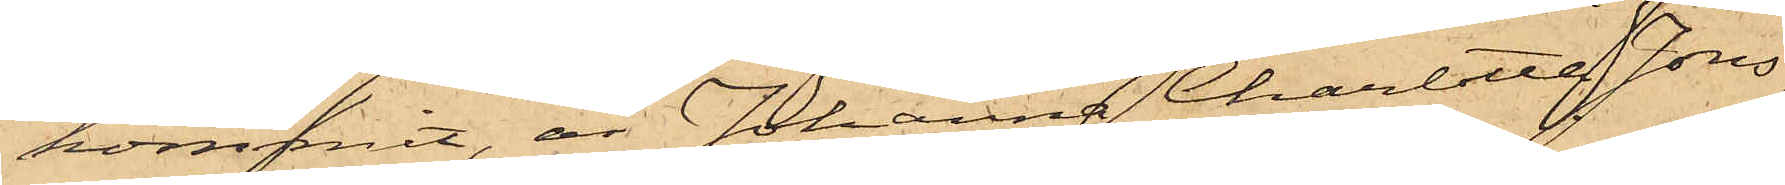kommit, är Johanna Charlotta Jons¬
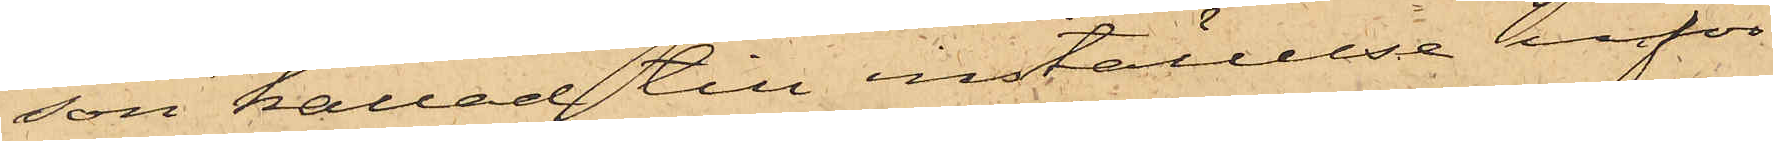son kallad till inställelse inför
